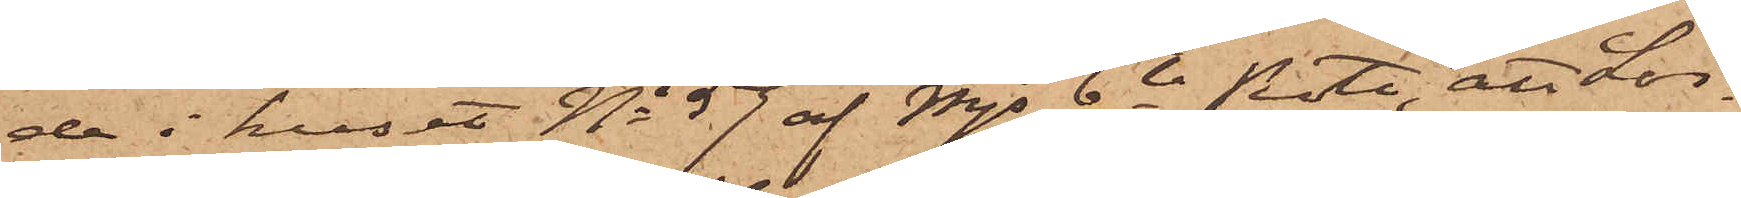de i huset No 57 af Mjs 6te Rote, att Lör¬
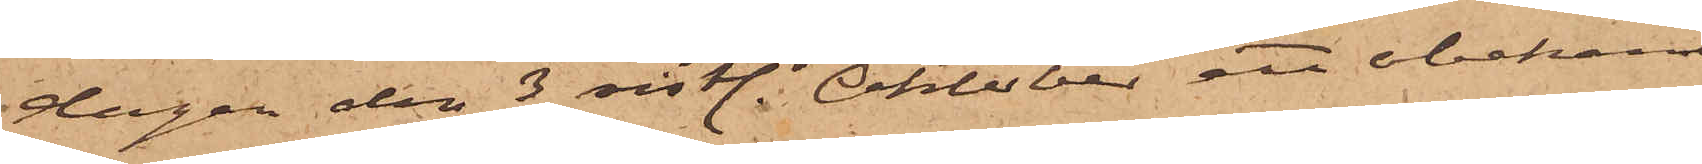dagen den 3 sistl. Oktober, ett obekant
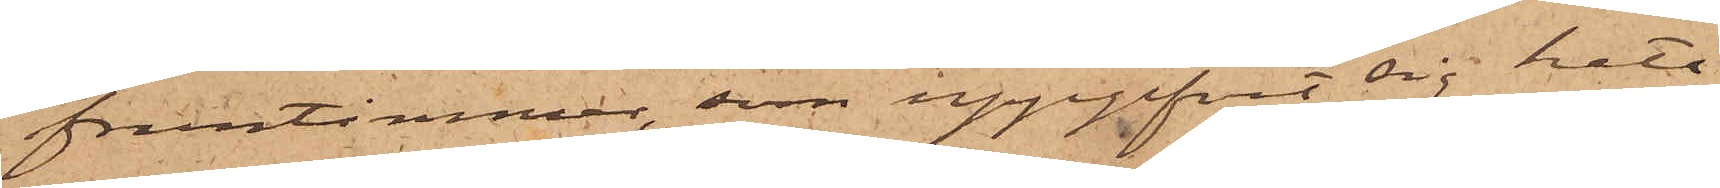fruntimmer, som uppgifvit sig heta
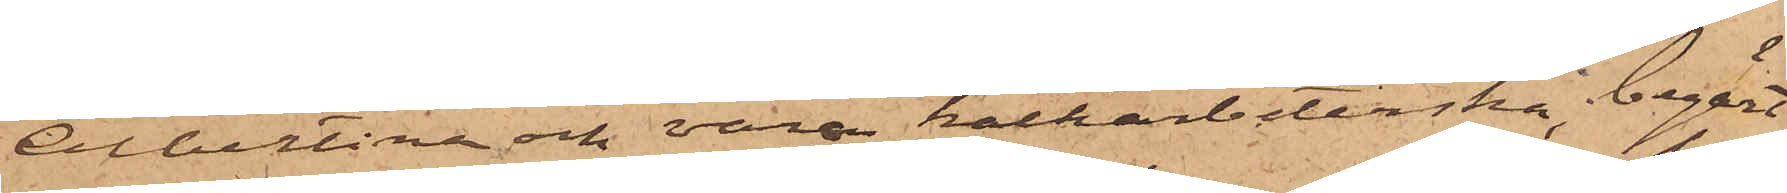Albertina och vara kalkarbeterska, begärt
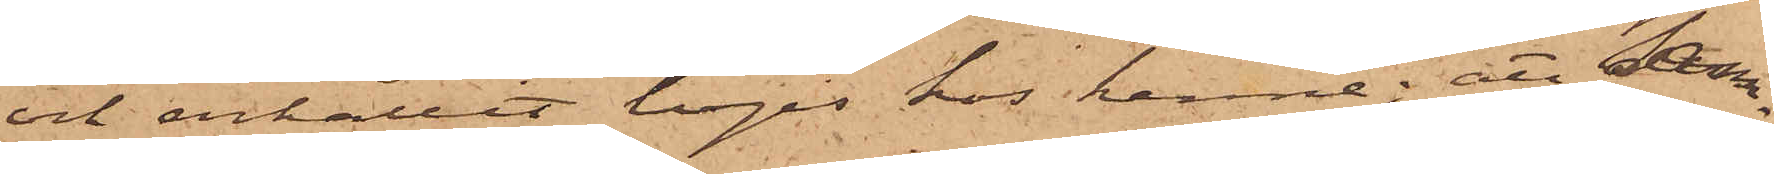och erhållit logis hos henne; att sam¬
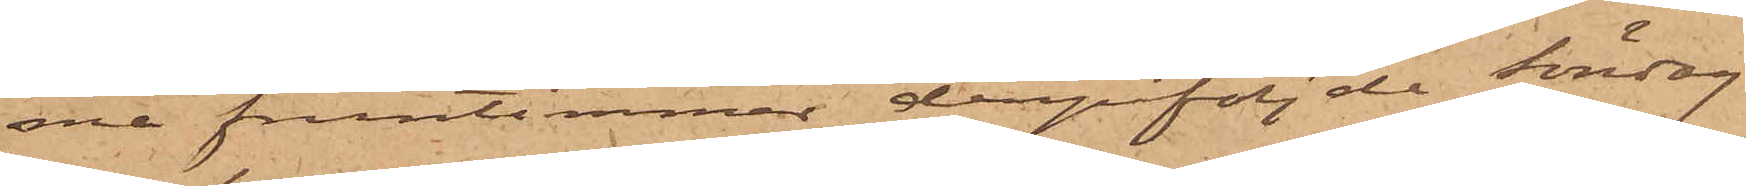ma fruntimmer derpåföljde Söndag
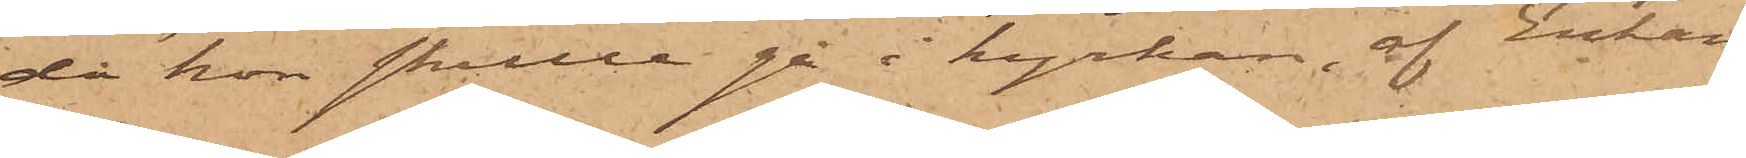då hon skulle gå i kyrkan, af Enkan
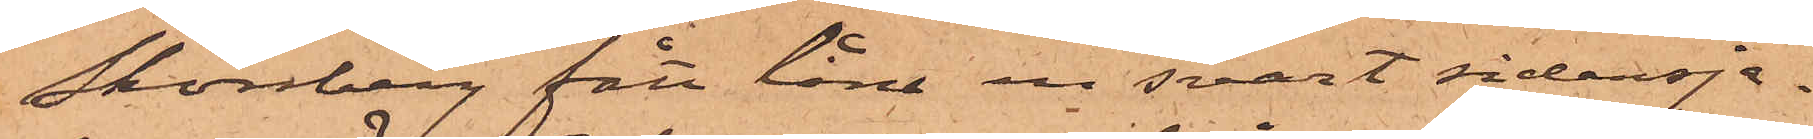Skönberg fått låna en svart sidensja¬
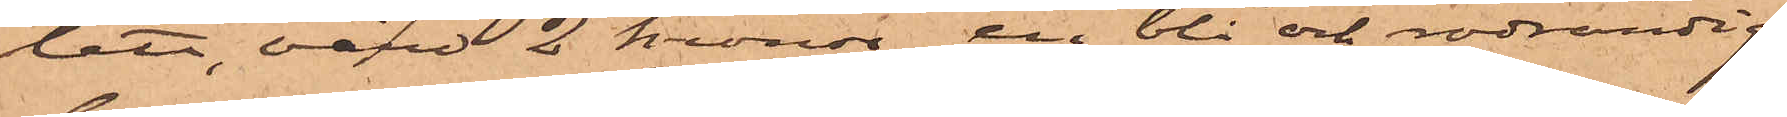lett, värd 2 kronor, en blå och rödrandig
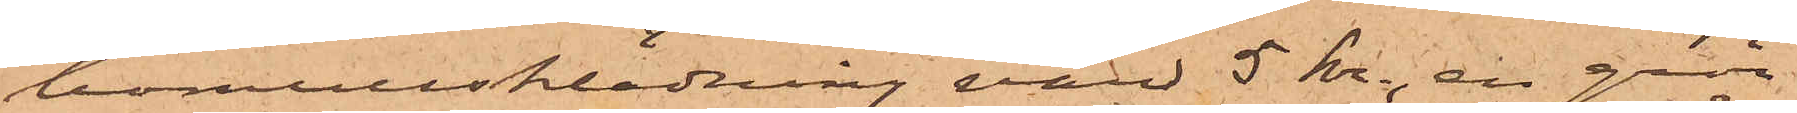bomullsklädning värd 5 Kr., en grön
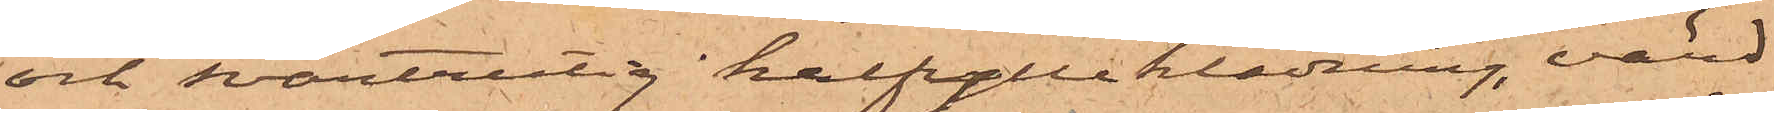och svartrutig halfylleklädning, värd
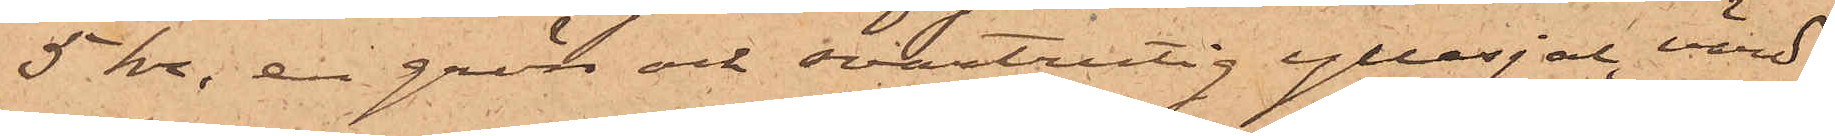5 kr, en grön och svartrutig yllesjal, värd
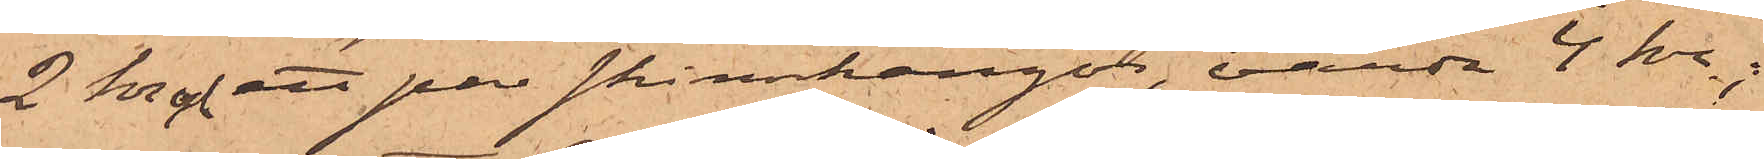2 kr och ett par skinnkängor, värda 4 kr.;
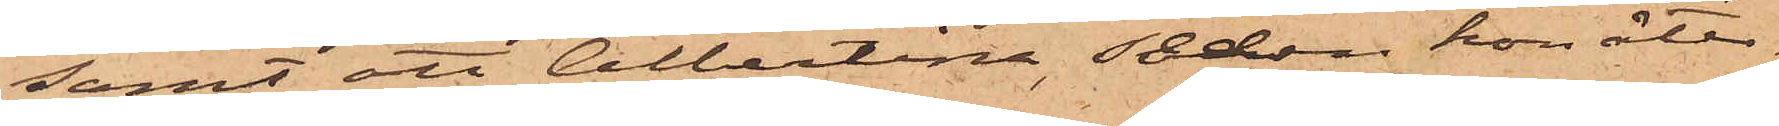samt att Albertina sedan hon åter¬
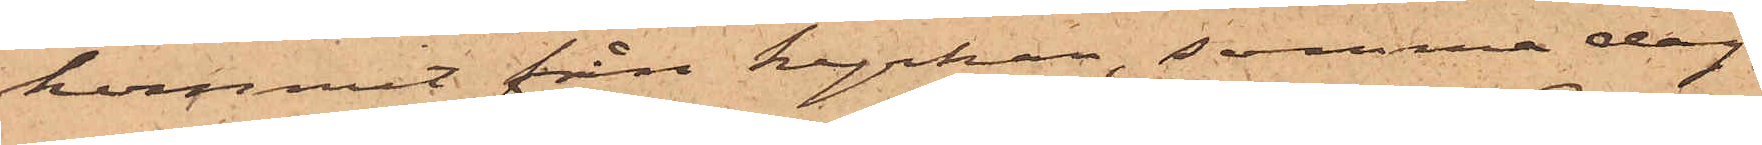kommit från kyrkan, samma dag
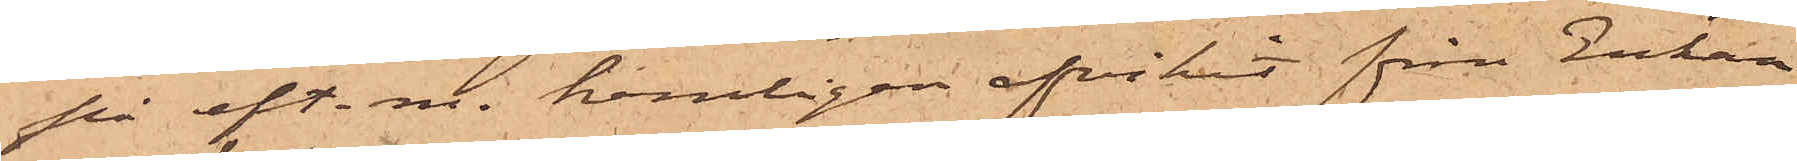på eft. m. hemligen afvikit från Enkan
